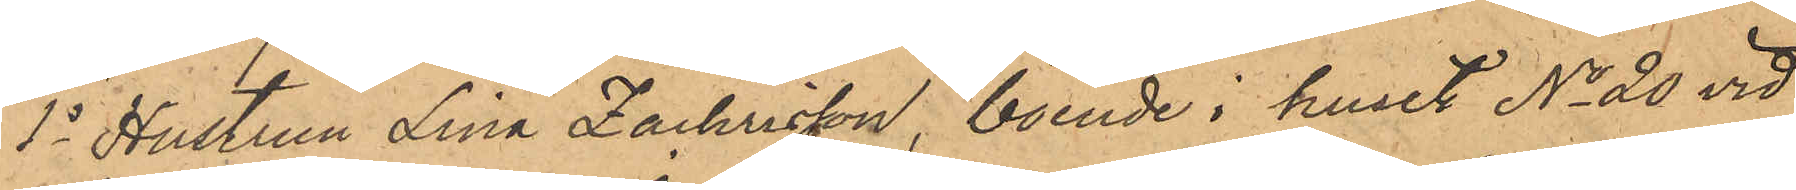1o Hustrun Lina Zachrisson, boende i huset No 20 vid
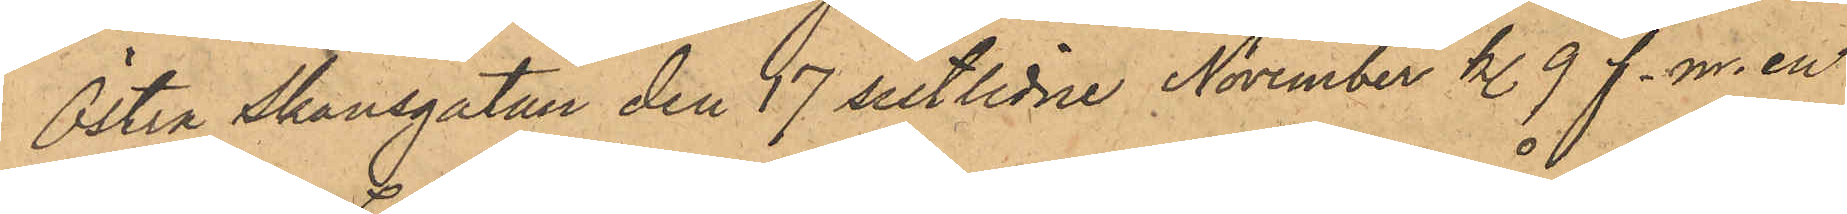Östra Skansgatan den 17 sistlidne November kl. 9 f.m. en
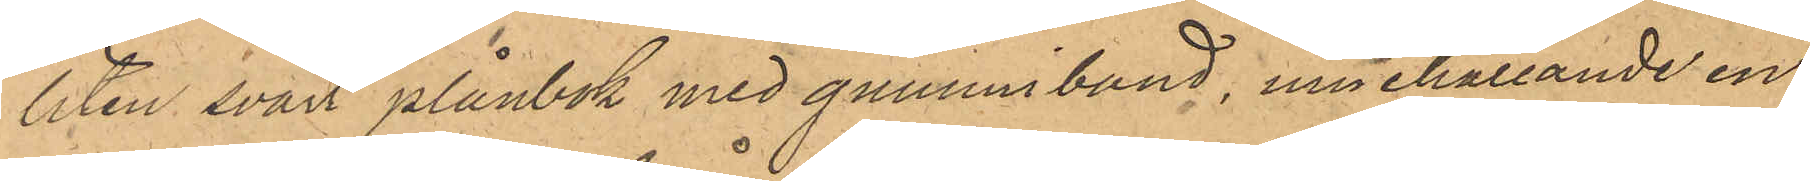liten svart plånbok med gummiband, innehållande en
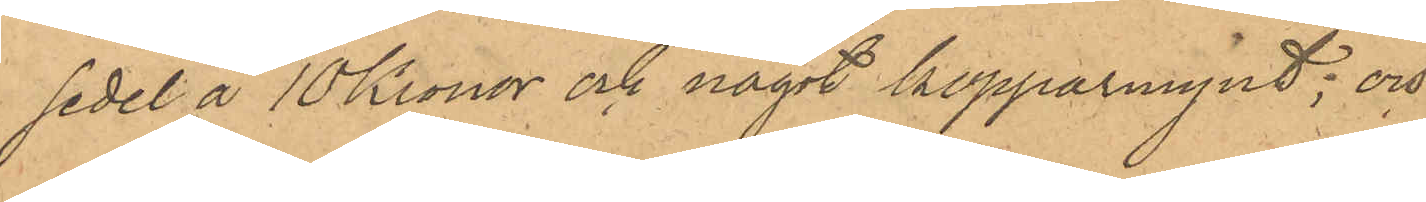sedel å 10 Kronor och något kopparmynt; och
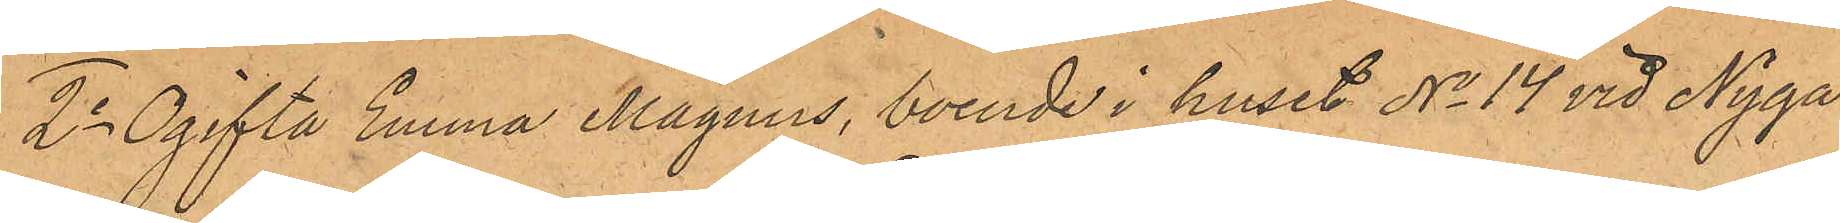2o Ogifta Emma Magnus, boende i huset No 14 vid Nyga¬
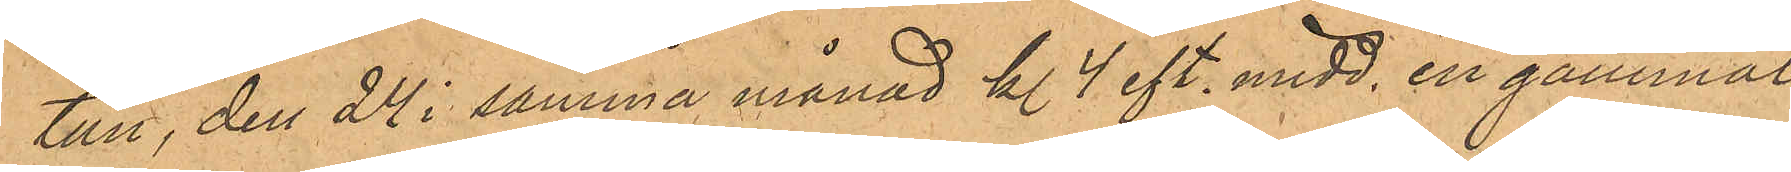tan, den 24 i samma månad kl 4 eft. midd, en gammal
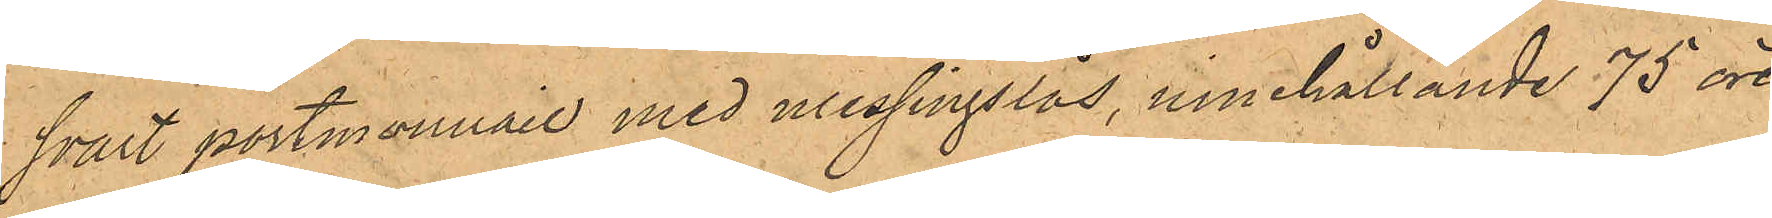svart portmonnaie med messingslås, innehållande 75 öre
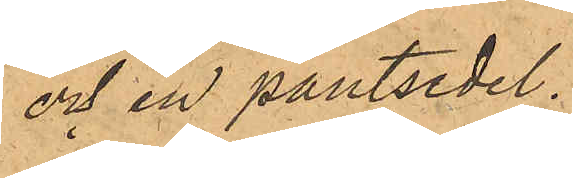och en pantsedel.
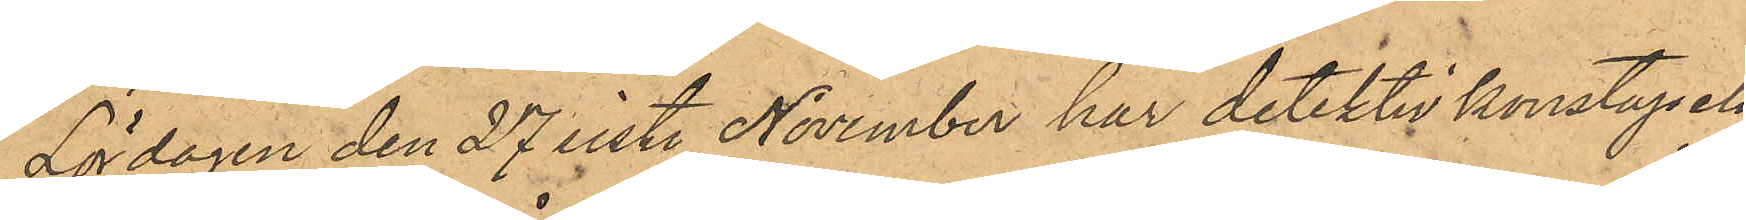Lördagen den 27 sist. November har detektivkonstapeln
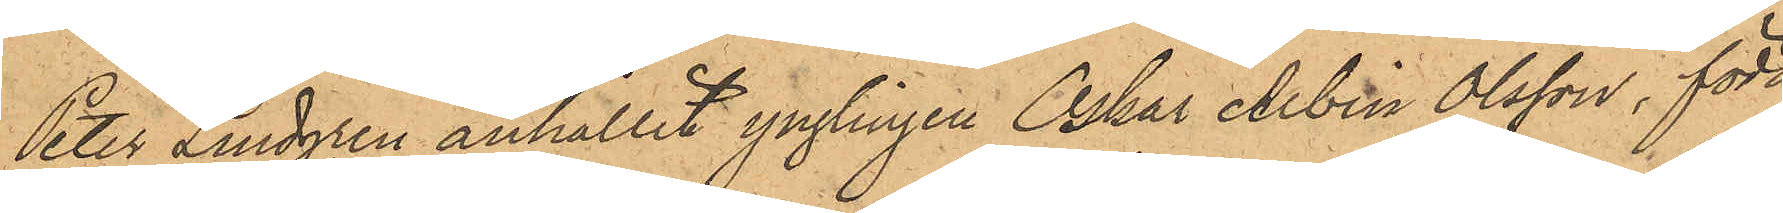Peter Lindgren anhållit ynglingen Oskar Albin Olsson, född
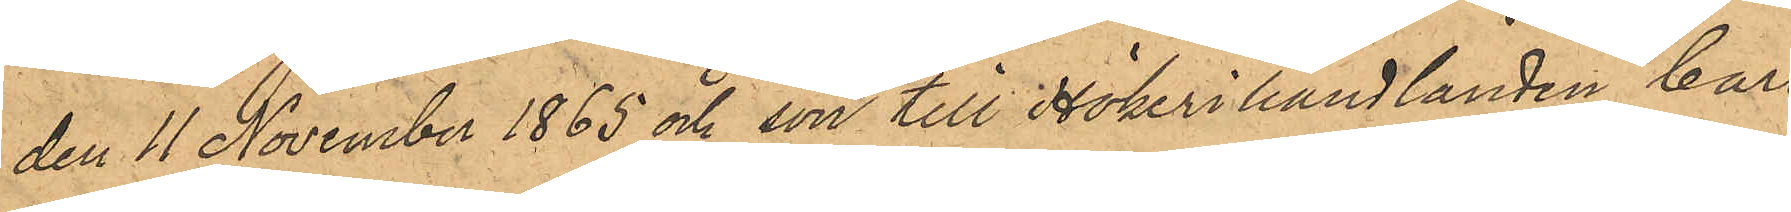den 11 November 1865 och son till Hökerihandlanden Carl
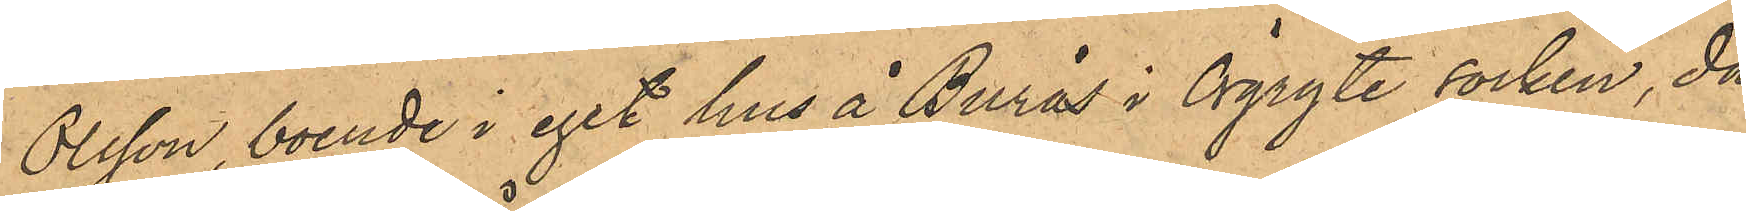Olsson, boende i eget hus å Burås i Örgryte socken, då
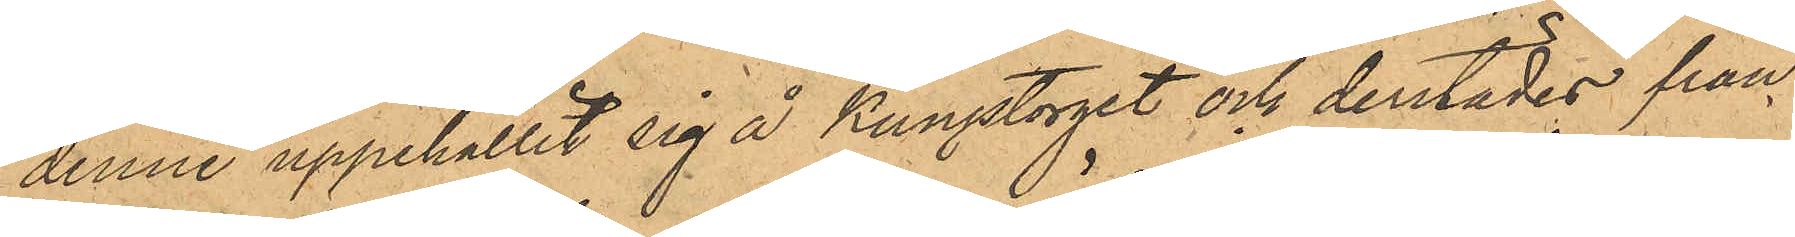denne uppehållit sig å Kungstorget och derstädes från
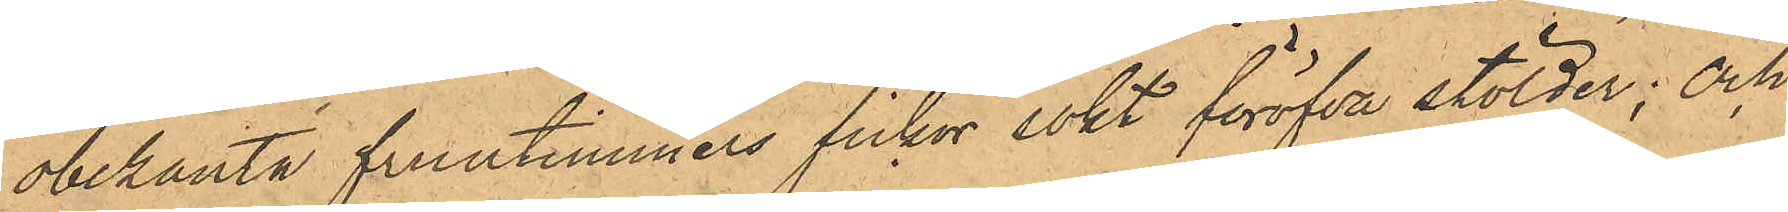obekanta fruntimmers fickor sökt föröfva stölder; och
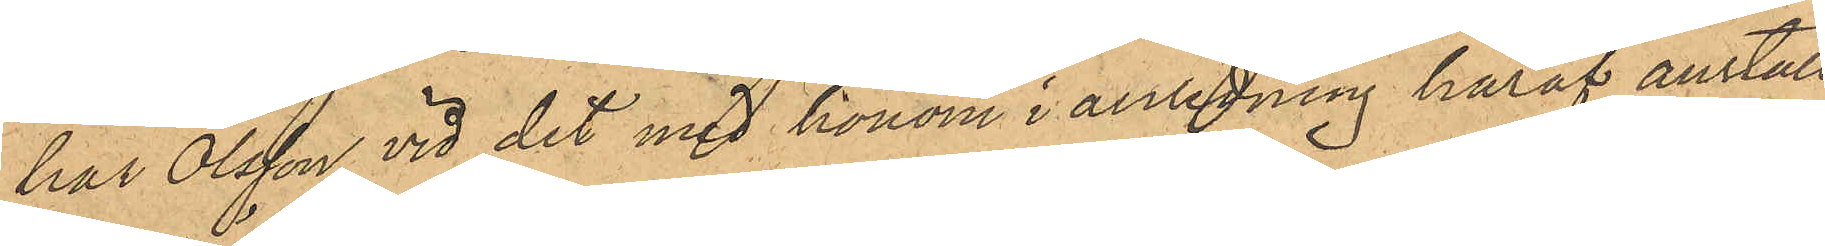har Olsson vid det med honom i anledning häraf anställ¬
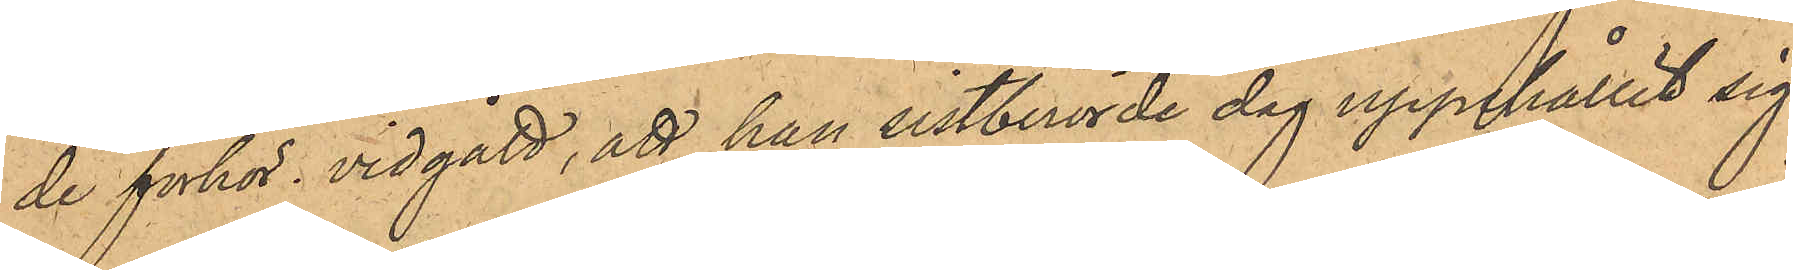de förhör vidgått, att han sistberörde dag uppehållit sig
